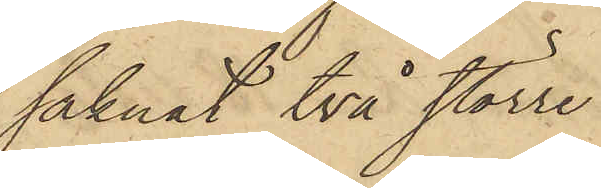saknat två större
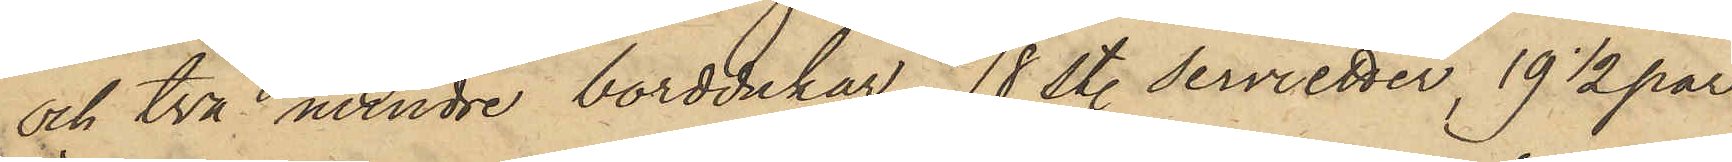och två mindre borddukar, 18 st. servietter, 19 1/2 par
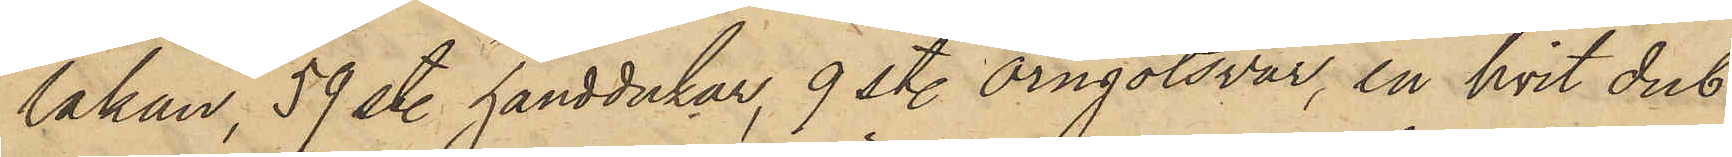lakan, 59 st. handdukar, 9 st. örngotsvar, en hvit dub¬
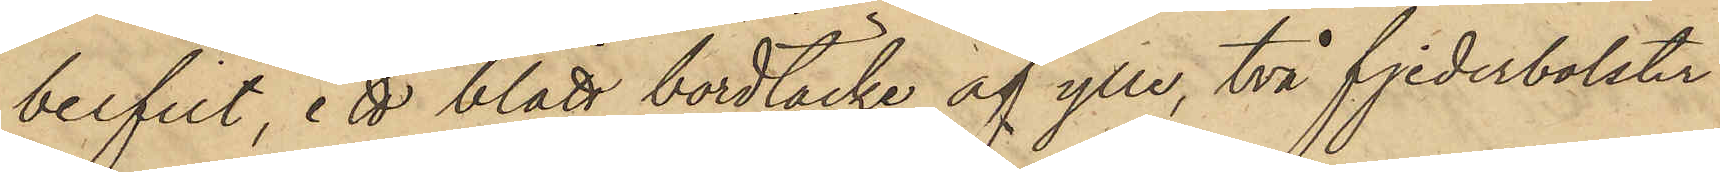belfilt, ett blått bordtäcke af ylle, två fjederbolster
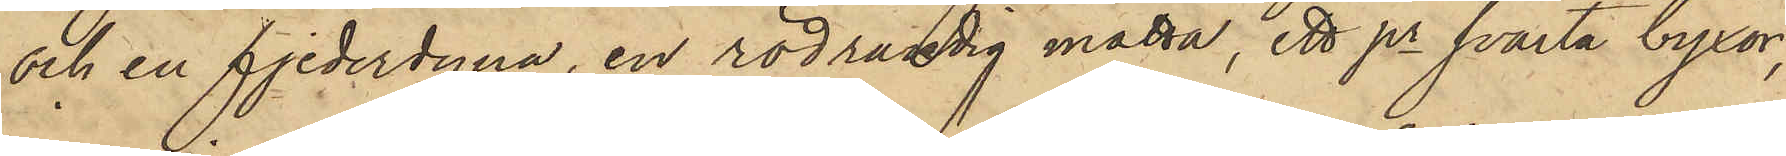och en fjederdyna, en rödrandig matta, ett pr svarta byxor,
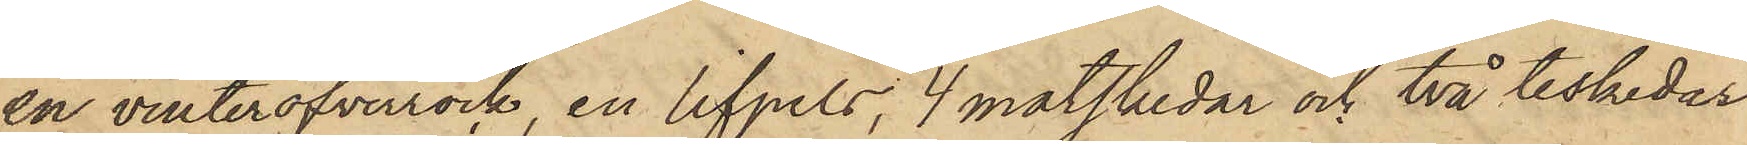en vinteröfverrock, en lifpels, 4 matskedar och två teskedar
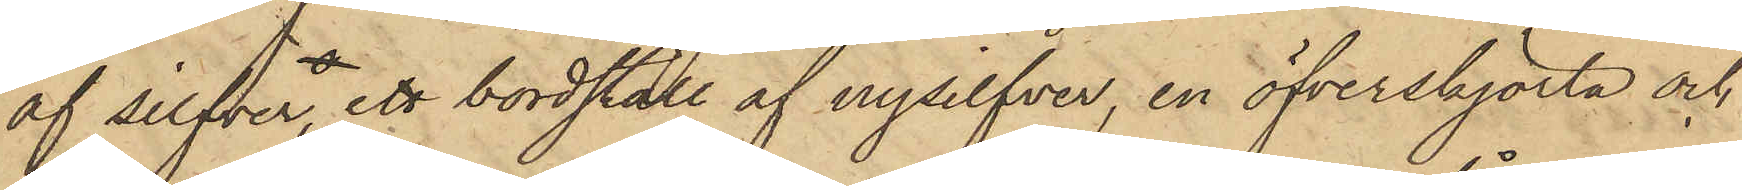af silfver, ett bordställ af nysilfver, en öfverskjorta och
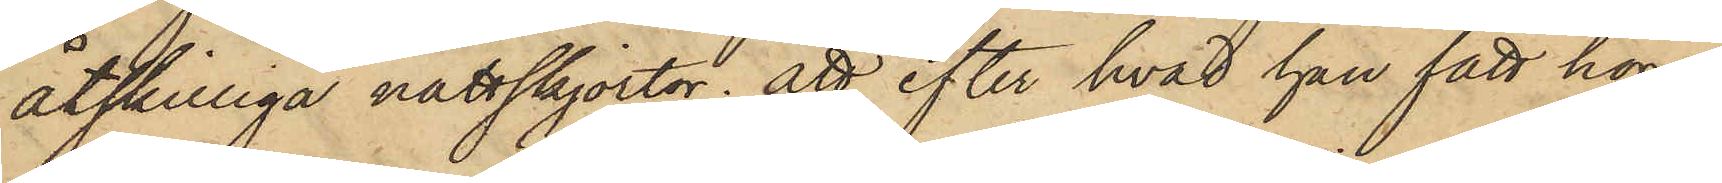åtskilliga nattskjortor; att efter hvad han fått höra,
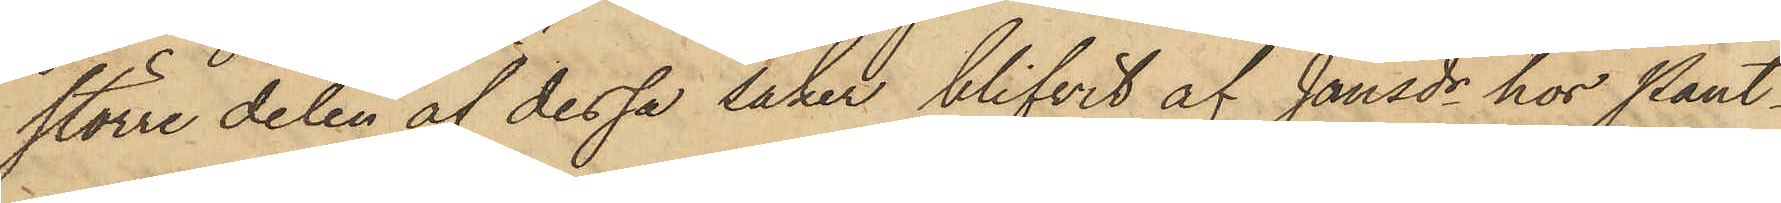större delen af dessa saker blifvit af Jansdr hos Pant¬
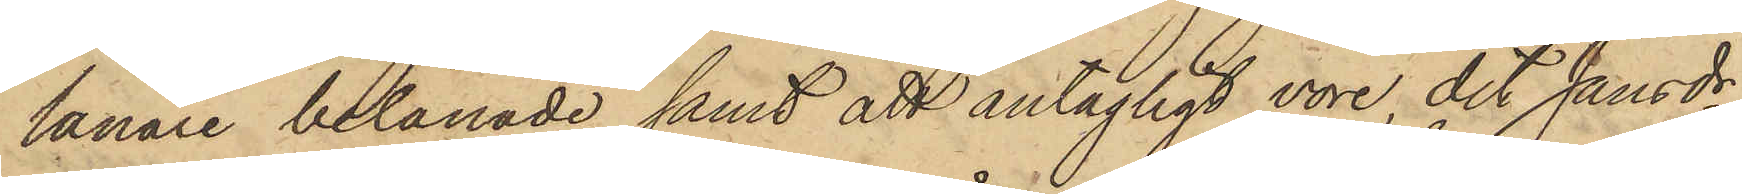lånare belånade samt att antagligt vore det Jansdr,
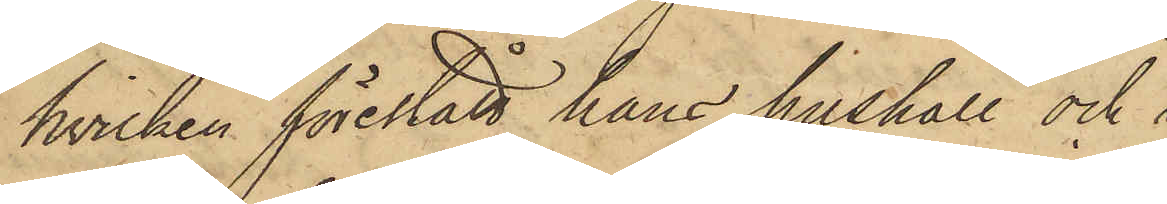hvilken förestått hans hushåll och 
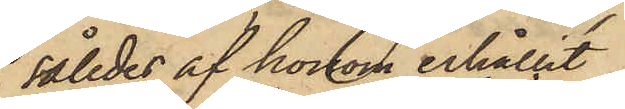således af honom erhållit
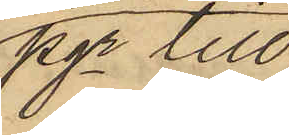pgr till
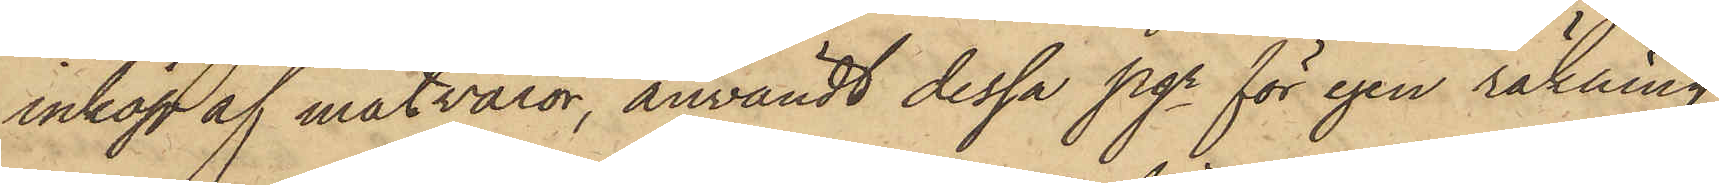inköp af matvaror, användt dessa pgr för egen räkning
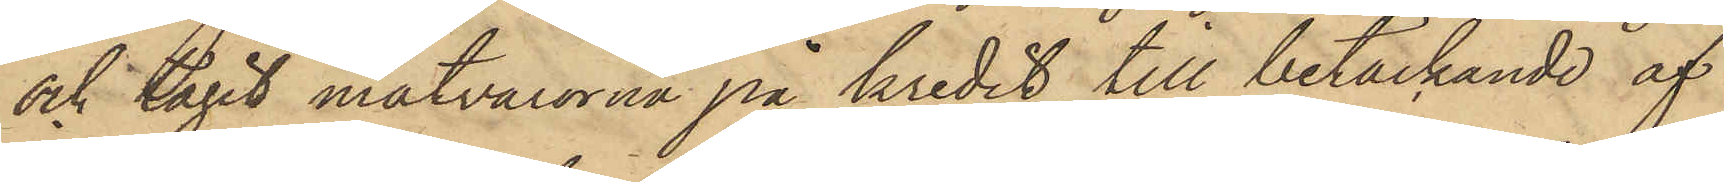och tagit matvarorna på kredit, till betäckande af
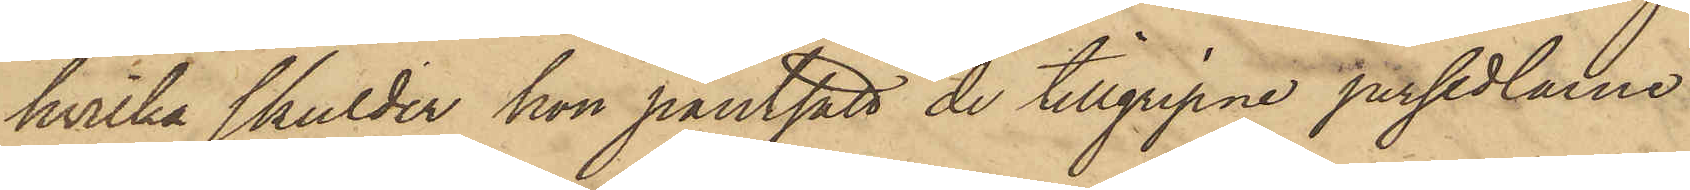hvilka skulder hon pantsatt de tillgripne persedlarne
